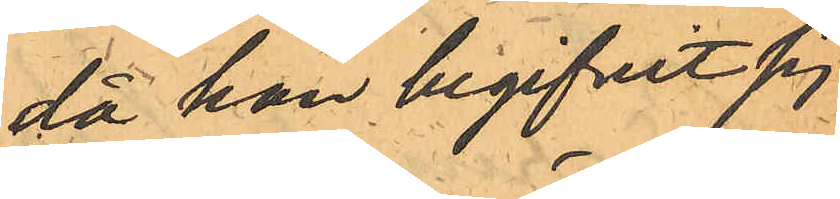då han begifvit sig
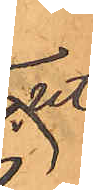ut
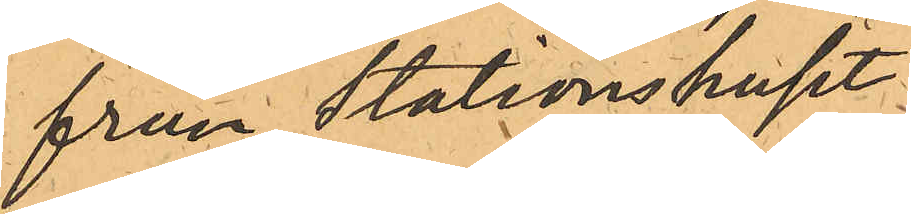från Stationshuset:
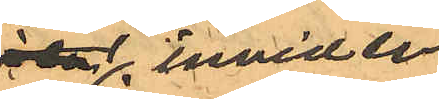invid en
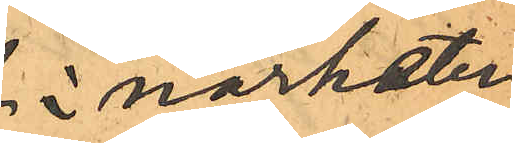i närheten
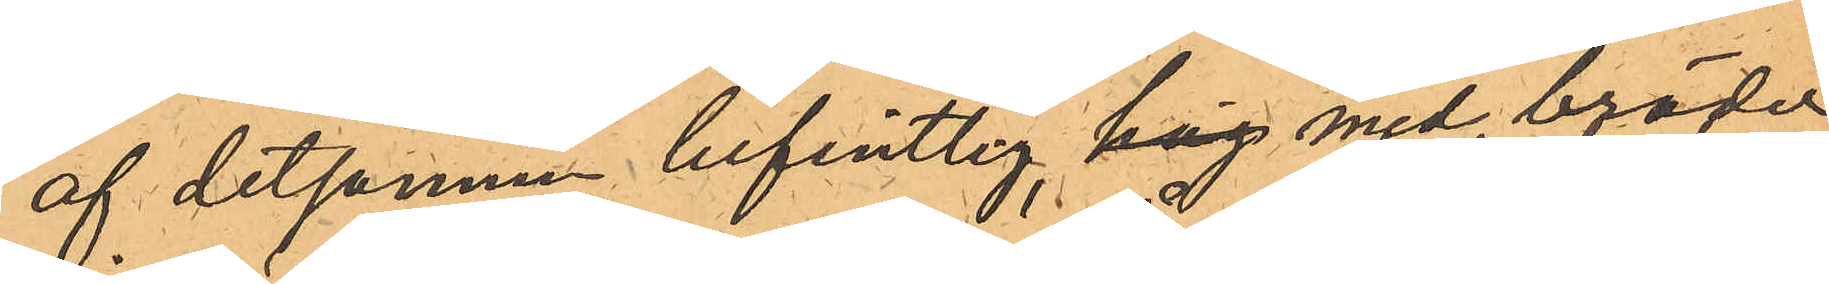af detsamma befintlig, hög med bräder
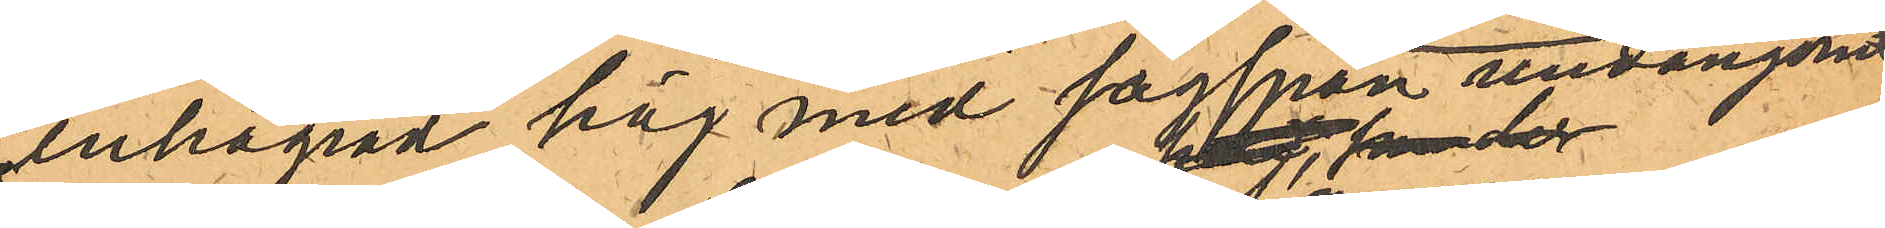inhägnad hög med sågspån undangömt
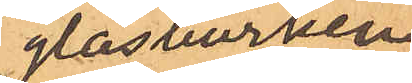glasburken;
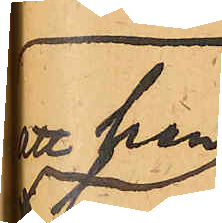att han
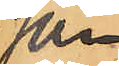som
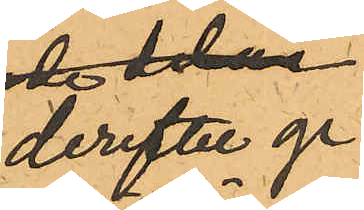derefter ge¬
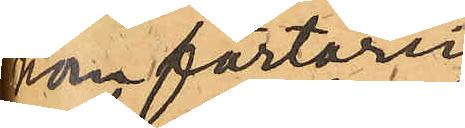nom förtäring
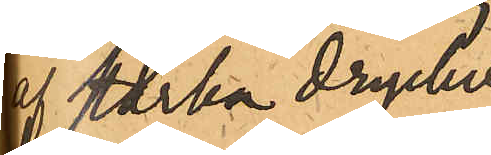af starka drycker
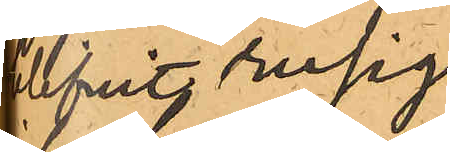blifvit rusig,
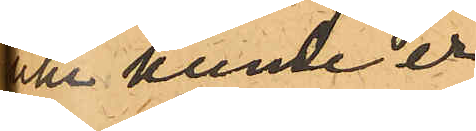icke kunde er¬
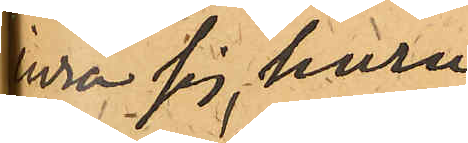inra sig, huru
